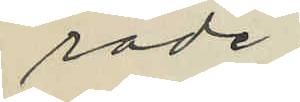råde.
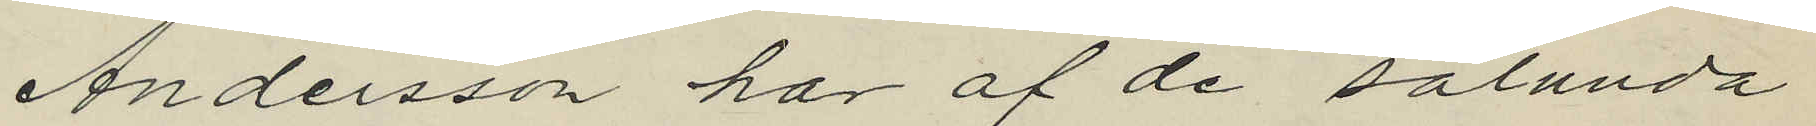Andersson har af de sålunda
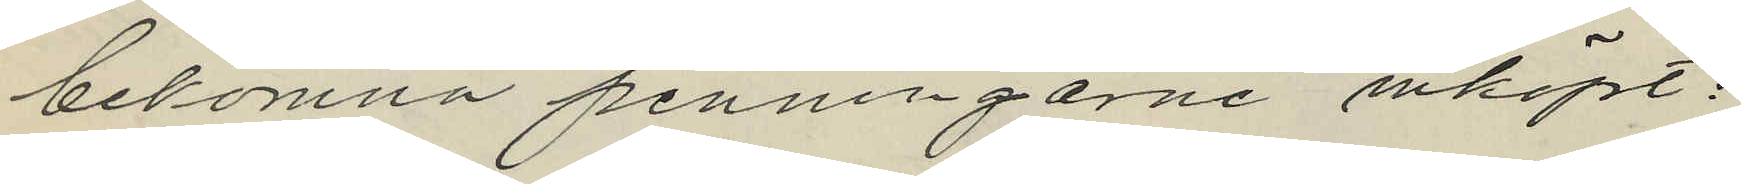bekomna penningarne inköpt:
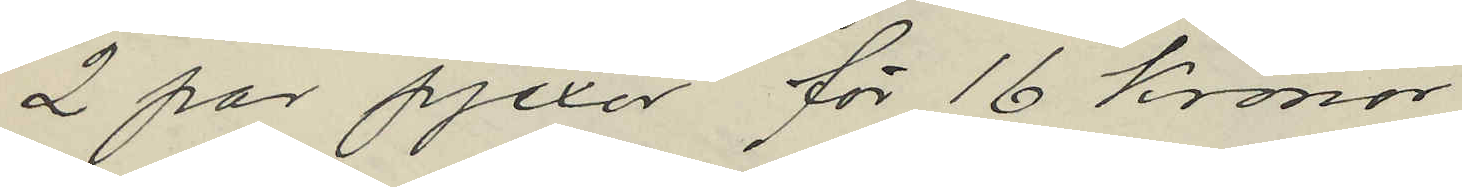2 par pjexor för 16 kronor
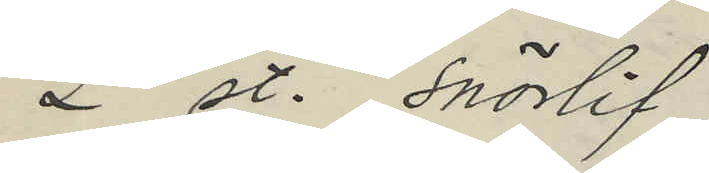2 st. snörlif
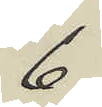6
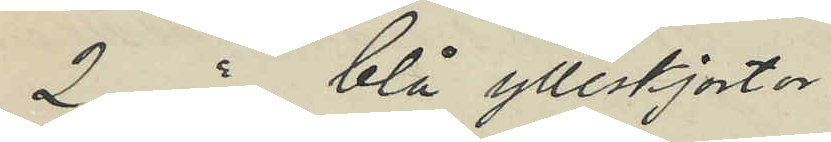2 " blå ylleskjortor
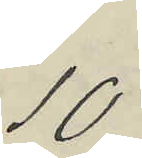10
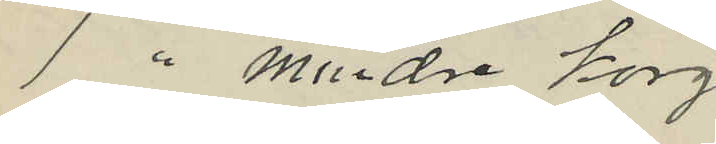1 " mindre korg
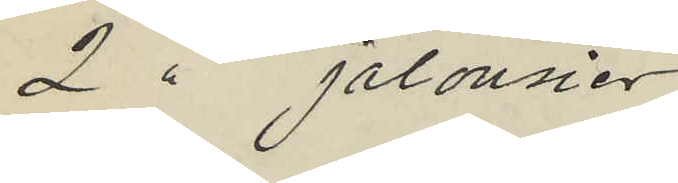2 " jalousier
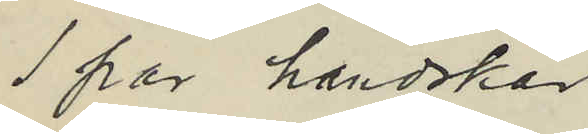1 par handskar
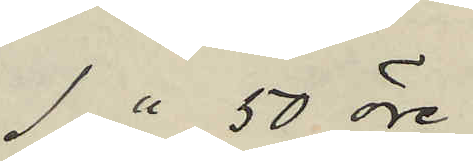1 " 50 öre
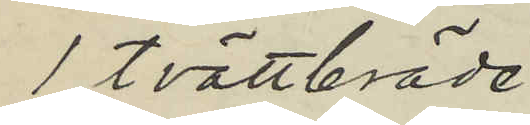1 tvättbräde
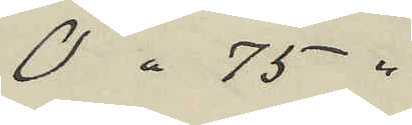0 " 75 "
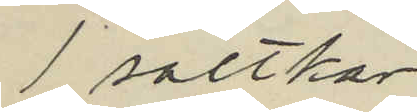1 saltkar
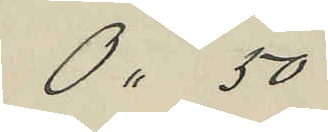0 " 50
